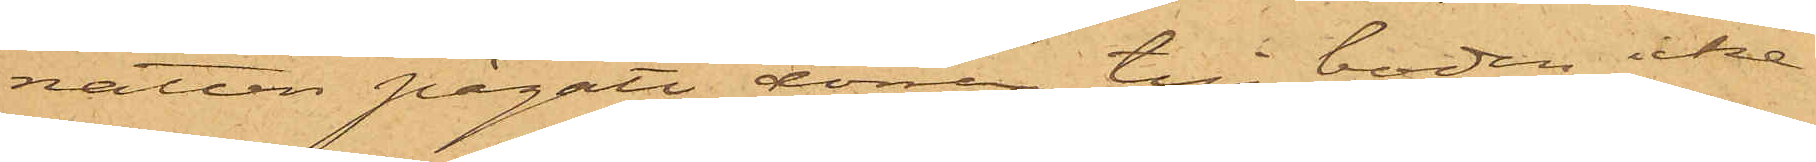natten pågått, dörren till boden icke
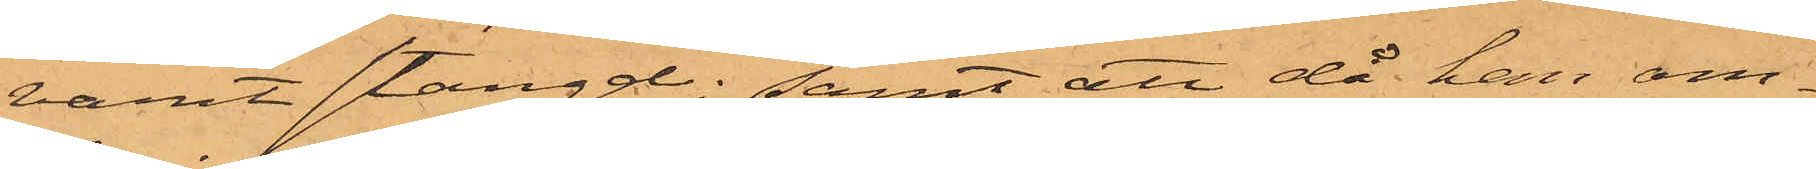varit stängd; samt att då han om¬
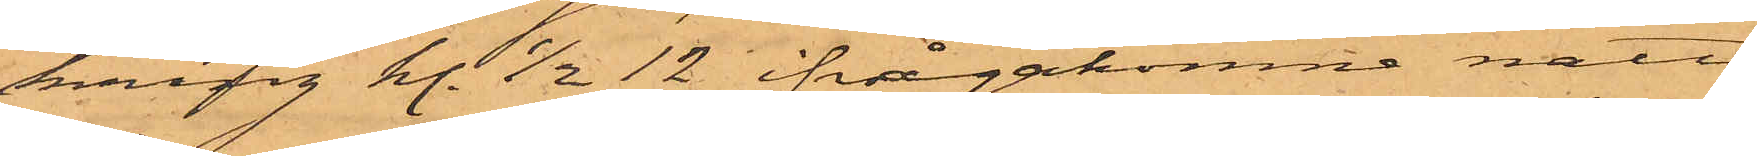kring kl. 1/2 12 ifrågakomne natt
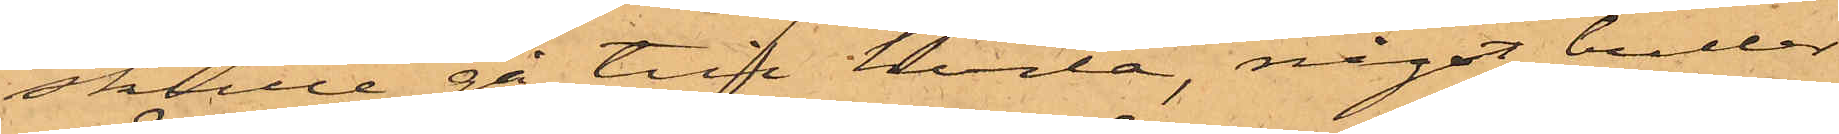skulle gå till hvila, något buller
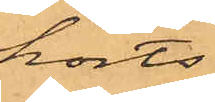hörts
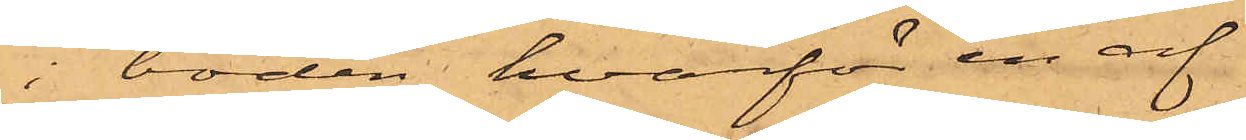i boden, hvarför en af
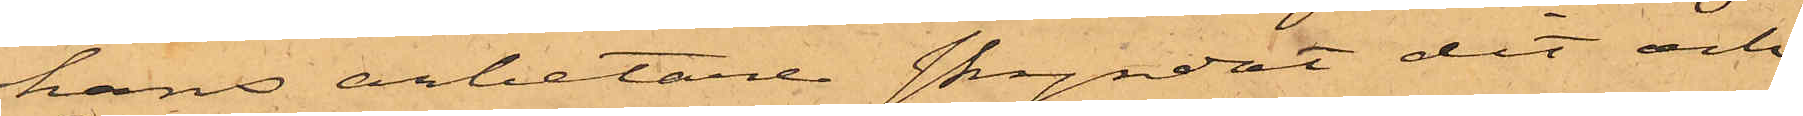hans arbetare skyndat dit och
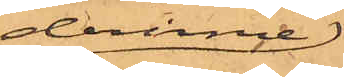derinne
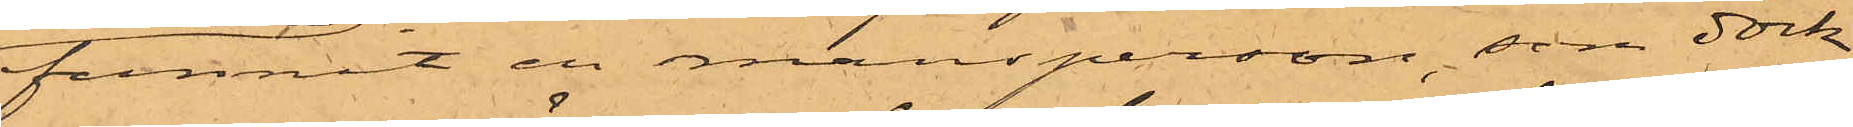funnit en mansperson, som dock
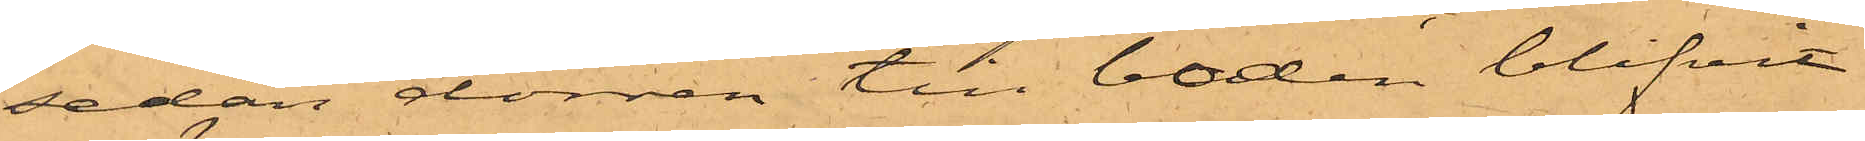sedan dörren till boden blifvit
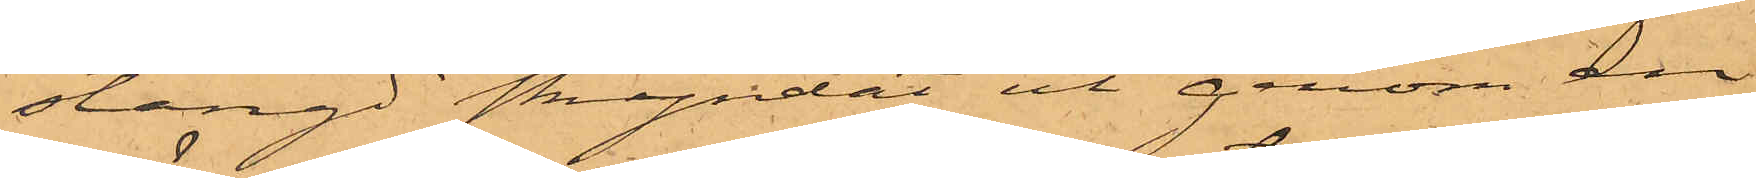stängd skyndat ut genom en
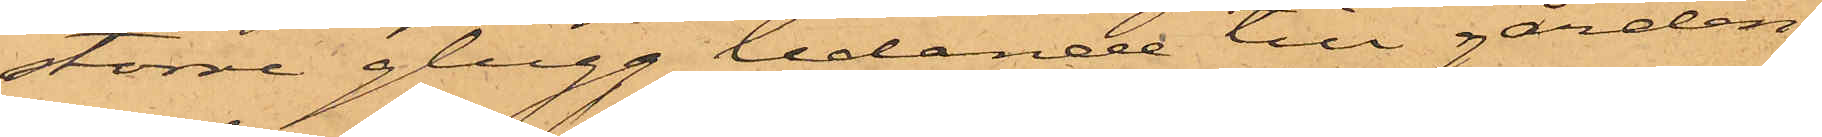större glugg ledande till gården.
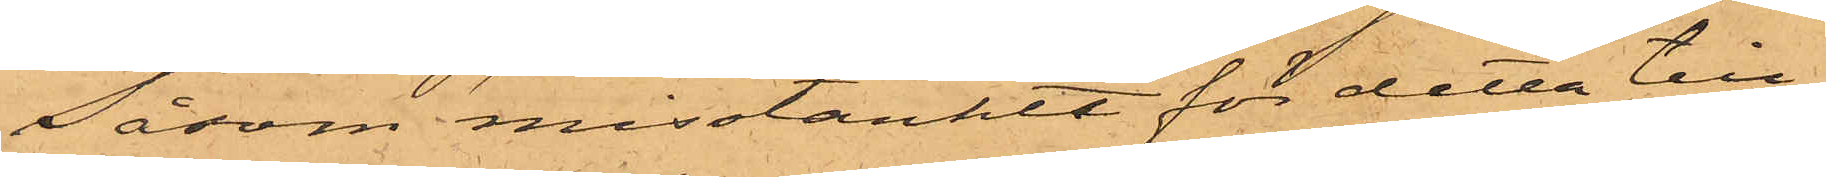Såsom misstänkte för detta till¬
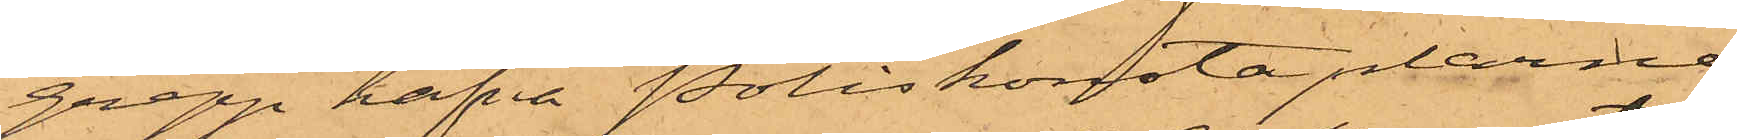grepp hafva Poliskonstaplarne
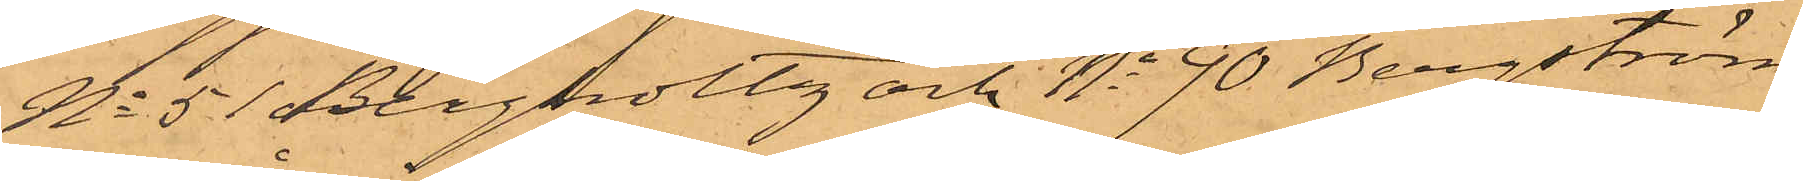No 51 Bergholtz och No 90 Bergström
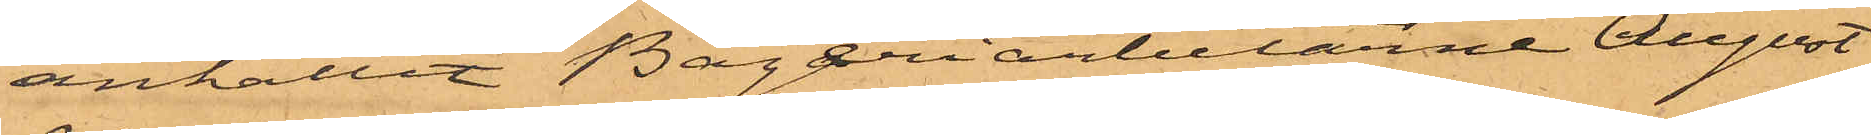anhållit Bagariarbetarne August
